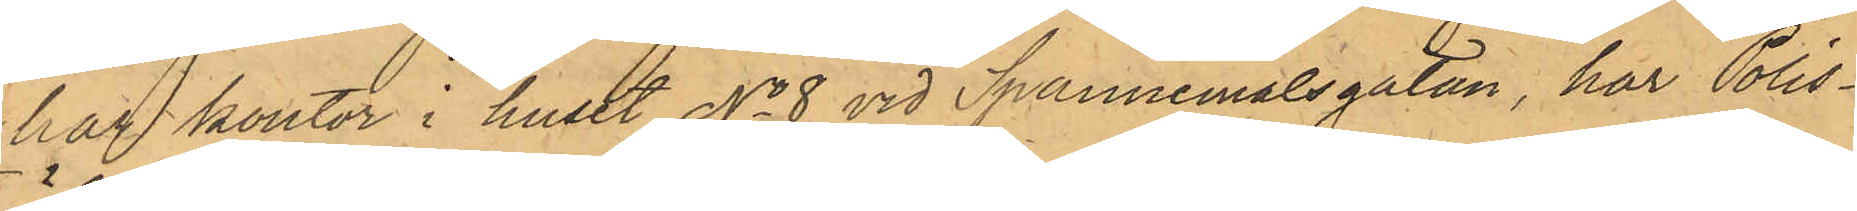har kontor i huset No 8 vid Spannemålsgatan, har Polis¬
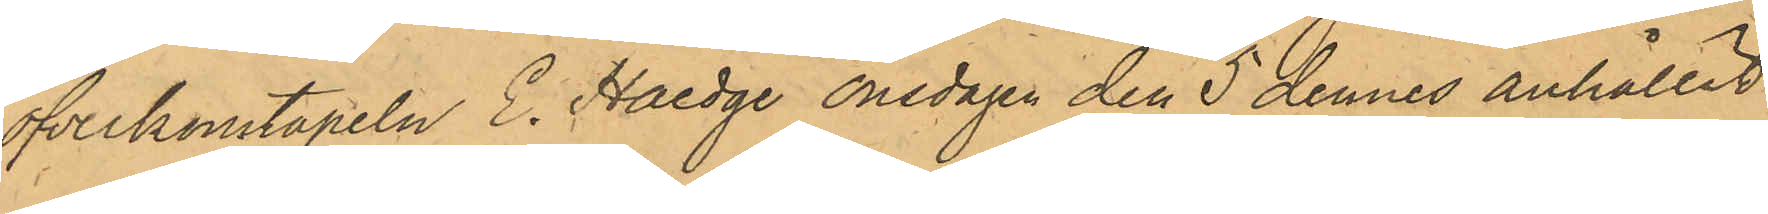öfverkonstapeln E. Haedge onsdagen den 5 dennes anhållit
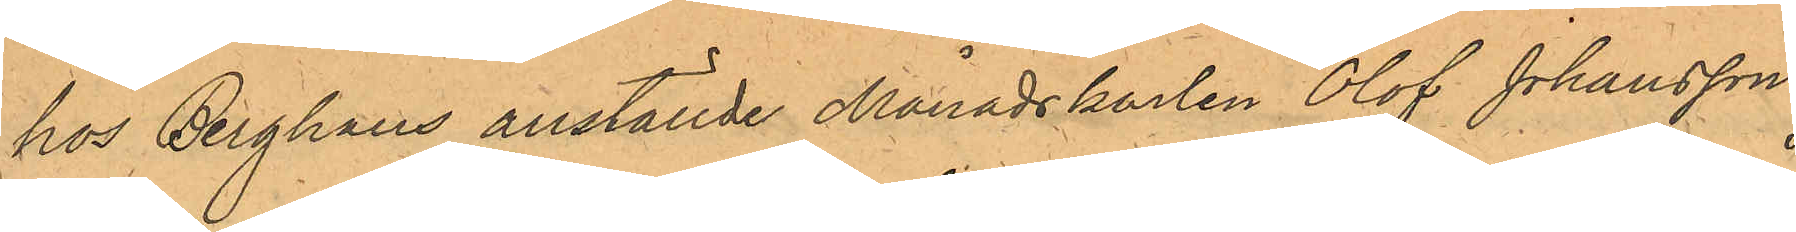hos Berghaus anställde Månadskarlen Olof Johansson,
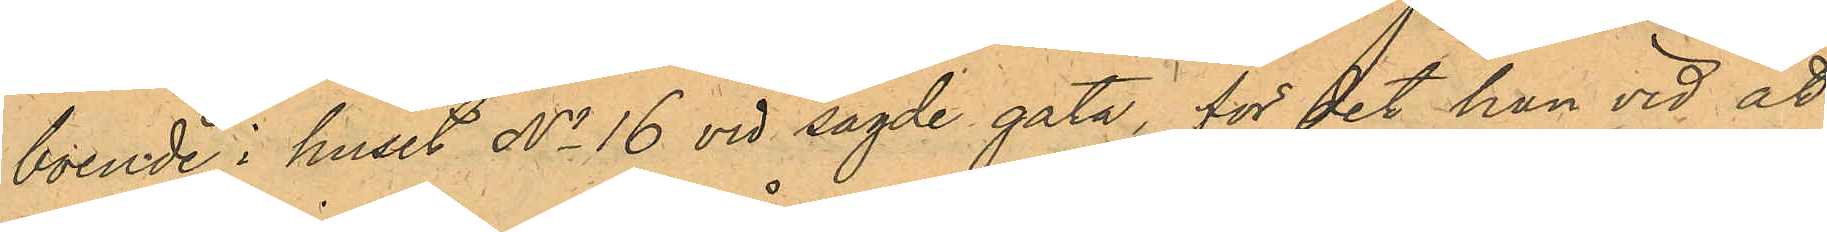boende i huset No 16 vid sagde gata, för det han vid åt¬
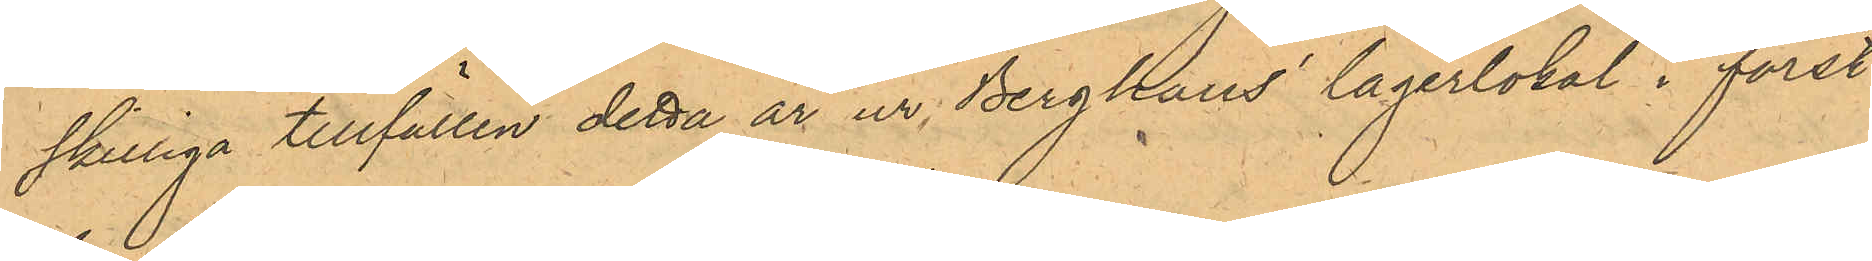skilliga tillfällen detta år ur Berghaus lagerlokal i först¬
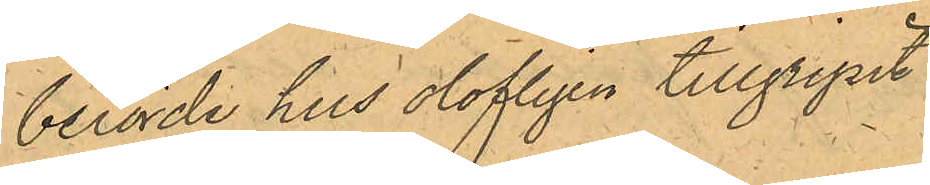berörde hus olofligen tillgripit.
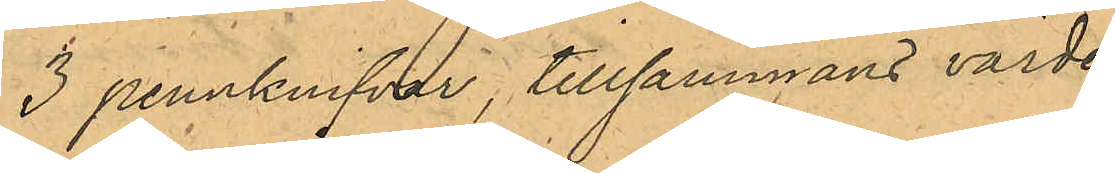3 pennknifvar, tillsammans värde
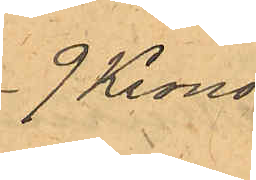9 Kronor
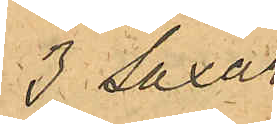3 saxar
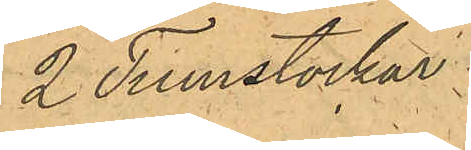2 Tumstockar
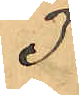3:
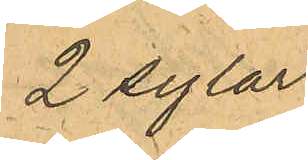2 sylar
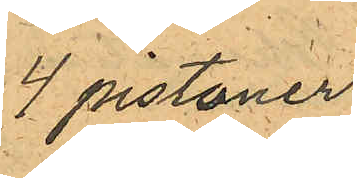4 pistoner
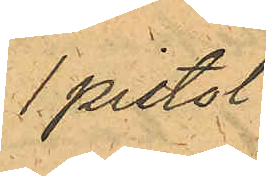1 pistol
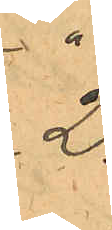2.
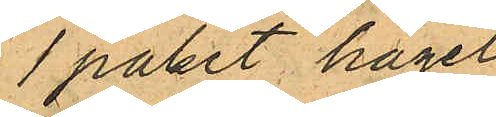1 paket hagel
